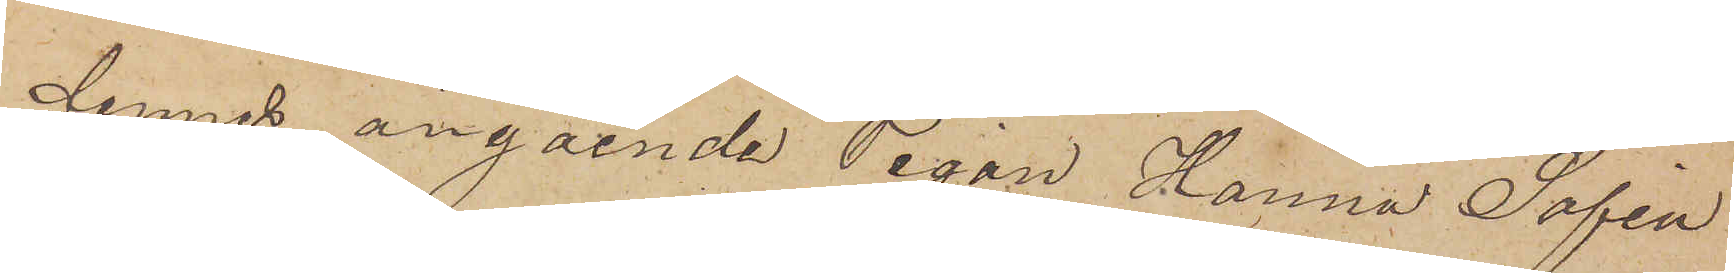dennes angående Pigan Hanna Sofia
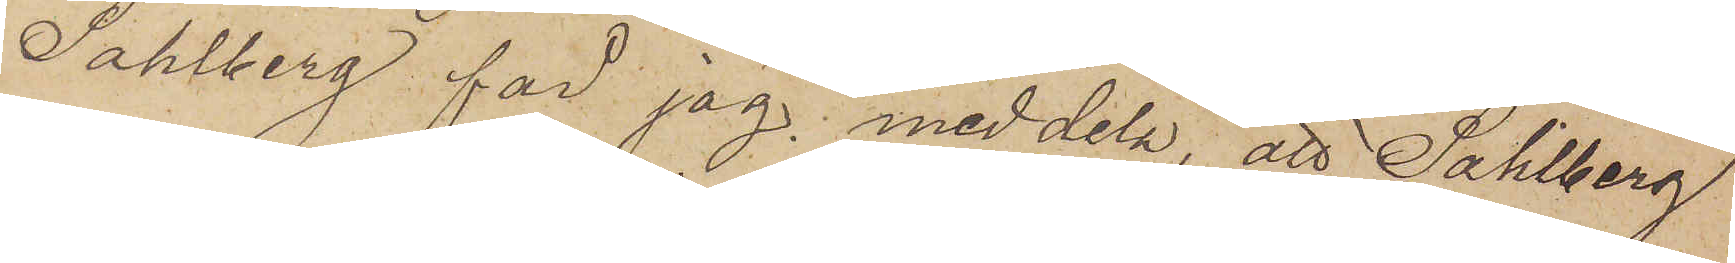Sahlberg får jag meddela, att Sahlberg
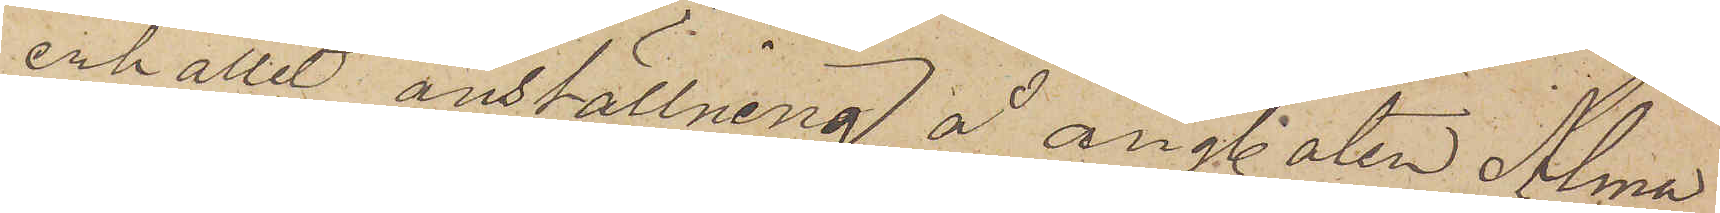enhållit anställning å ångbåten Alma
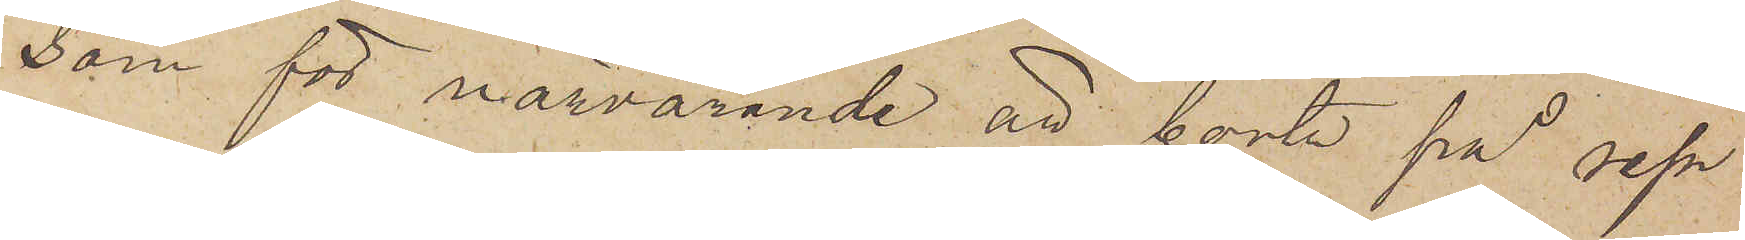som för närvarande är borta på resa
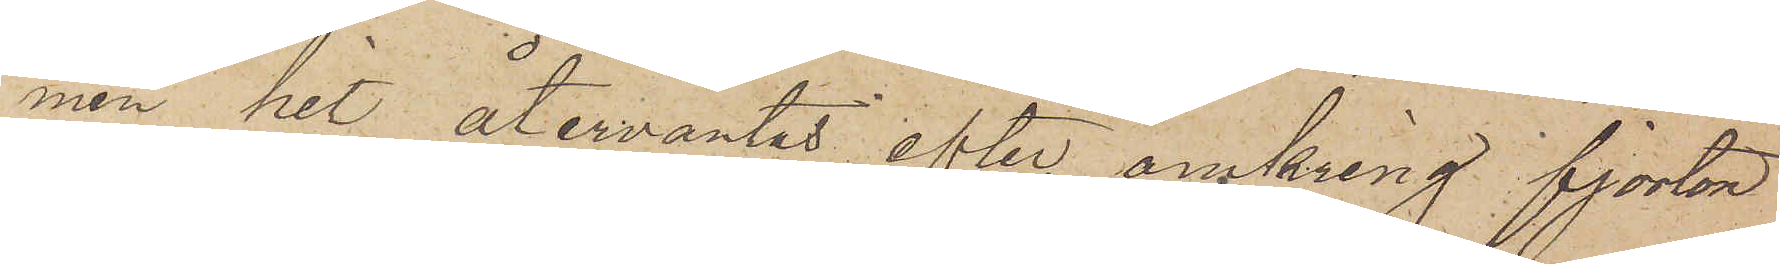men hit återväntas efter omkring fjorton
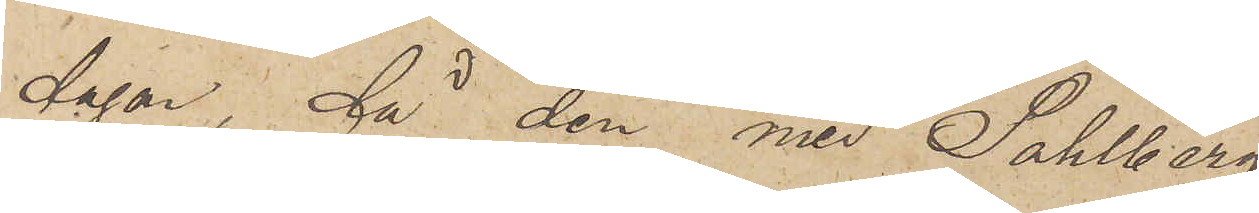dagar, då den med Sahlberg
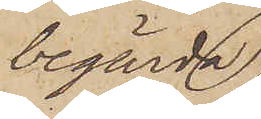begärda
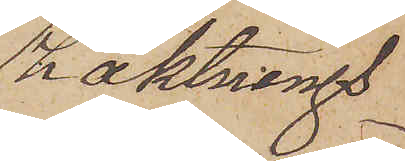häktnings¬
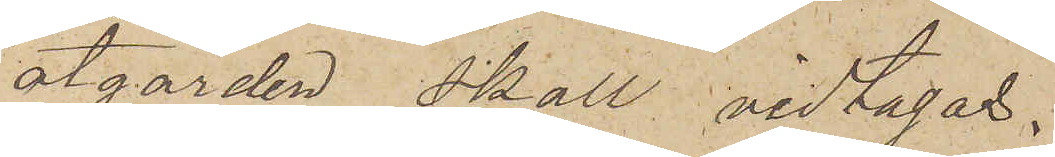åtgärden skall vidtagas.
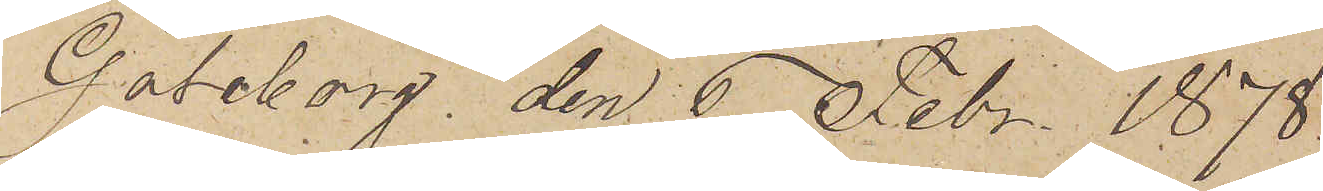Göteborg den 6 Febr. 1878.
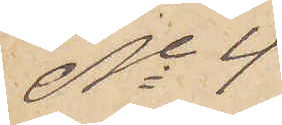No 4
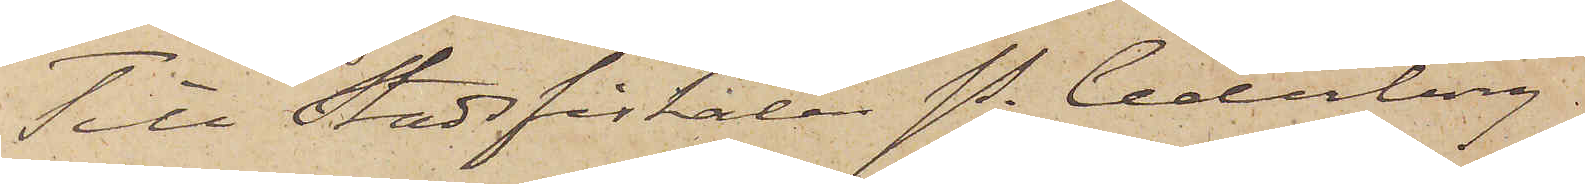Till Stadsfiskalen P. Cederborg,
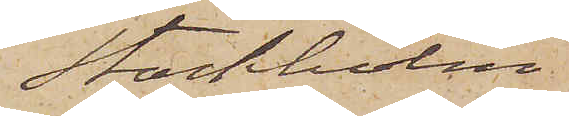Stockholm
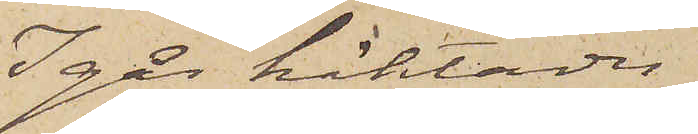Igår häktades
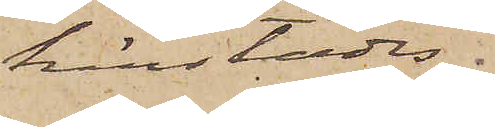härstädes
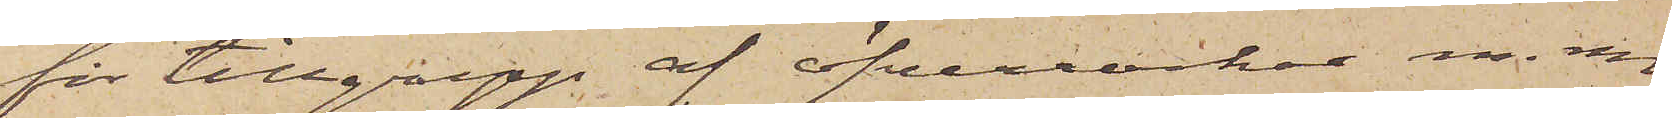för tillgrepp af öfverrockar m. m.
